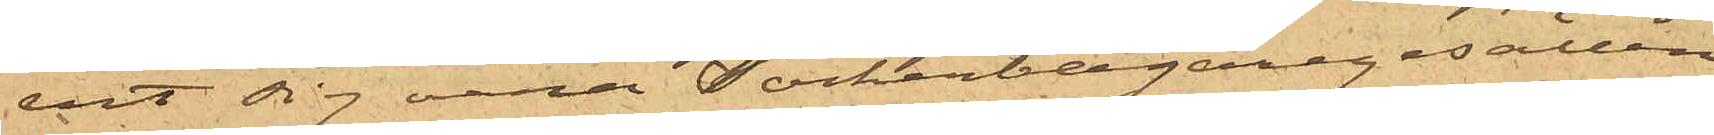vit sig vara Sockerbagaregesällen
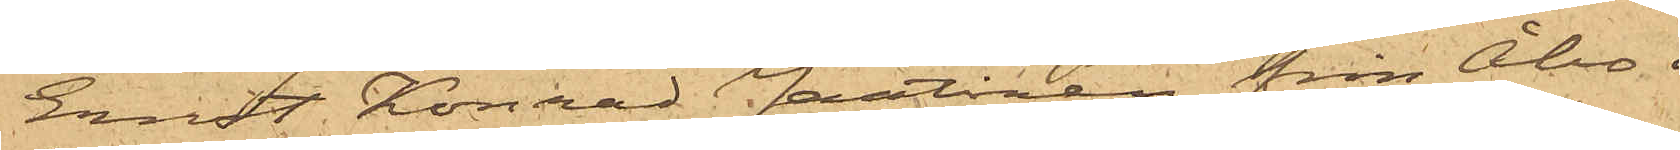Ernst Konrad Jantinen från Åbo i
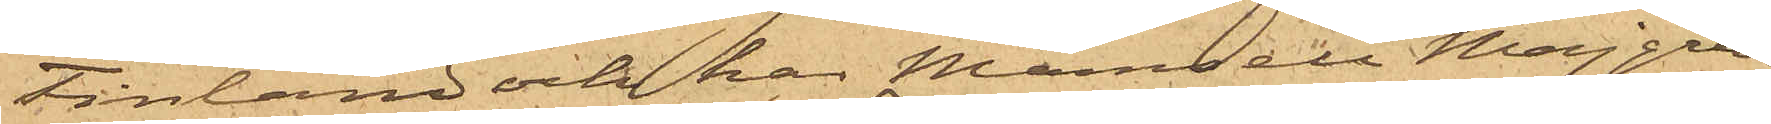Finland och har Mamsell Maijgren
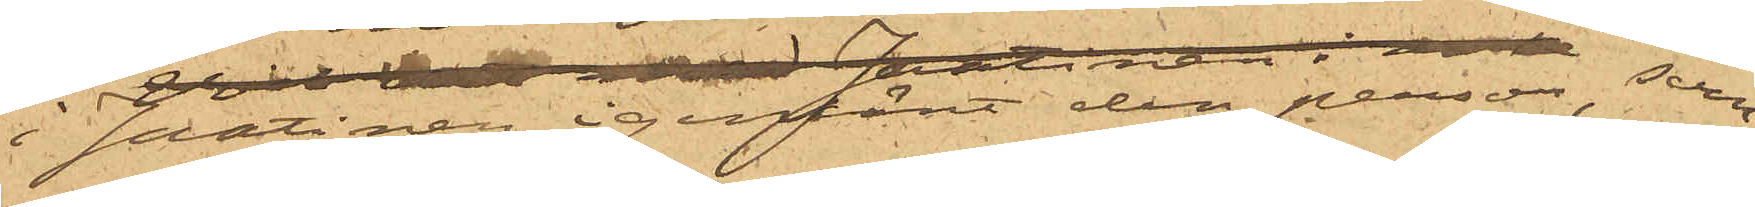i Jantinen igenkänt den person, som  
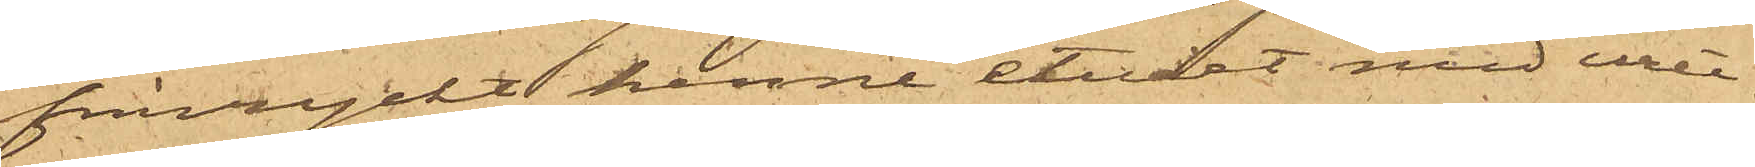frånryckt henne etuiet med uret.
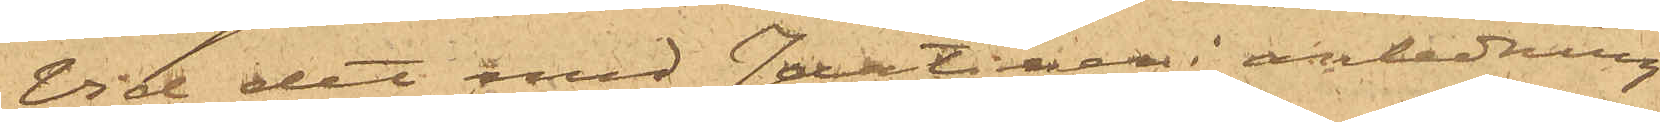Vid det med Jantinen i anledning
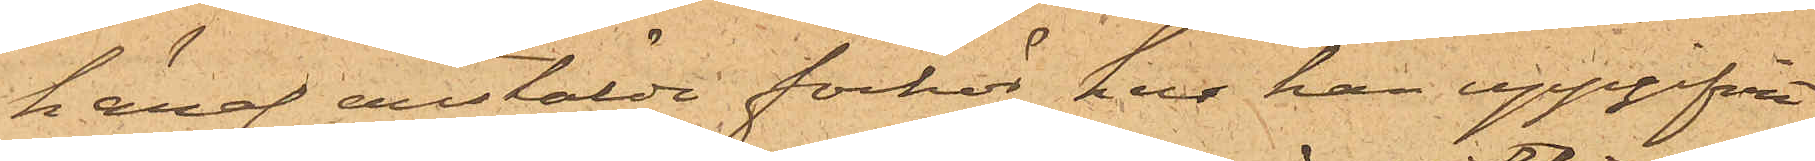häraf anstälde förhör har han uppgifvit
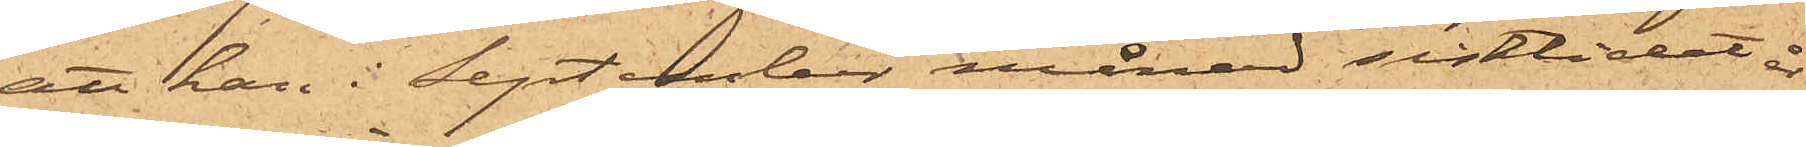att han i September månad sistlidet år
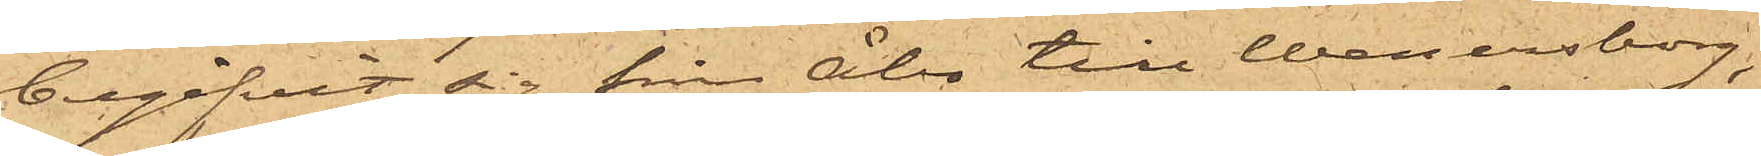begifvit sig från Åbo till Wenersborg,
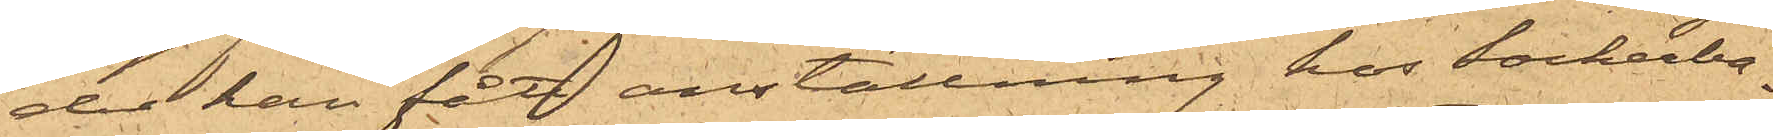der han fått anställning hos sockerba¬
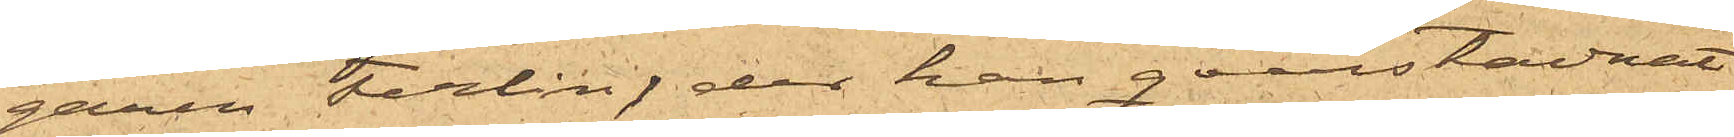garen Terling, der han qvarstannnat
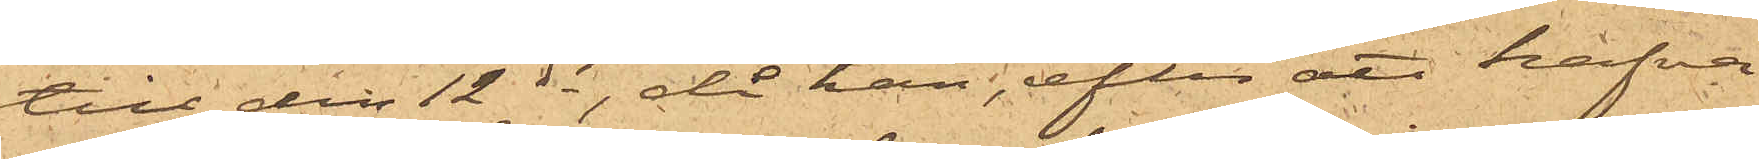till den 12 ds, då han, efter att hafva
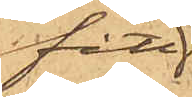fått
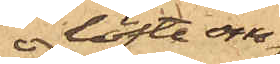löfte om
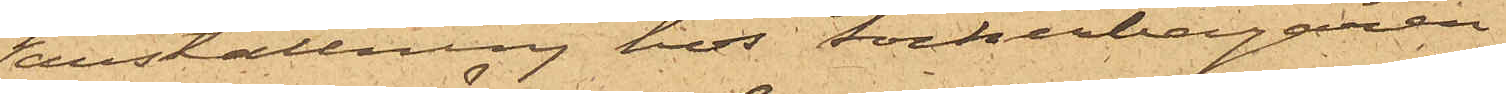anställning hos sockerbagaren
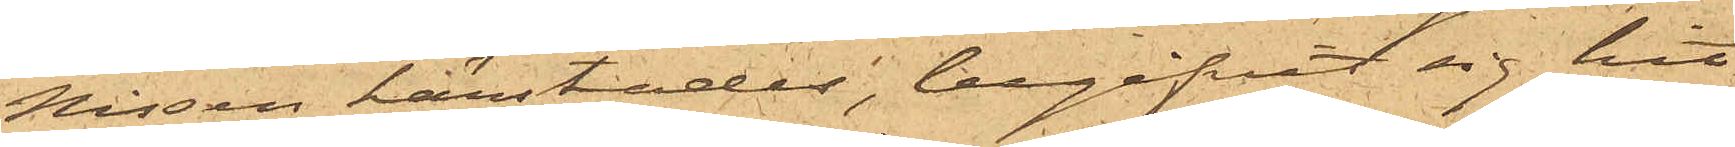Nissen härstädes, begifvit sig hit
